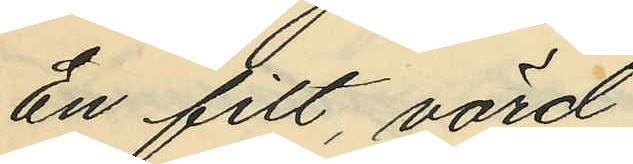En filt, värd
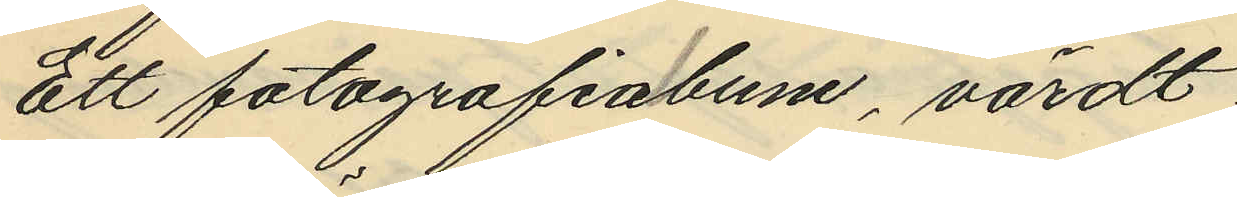Ett fotografiabum, värdt
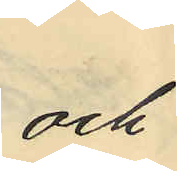och
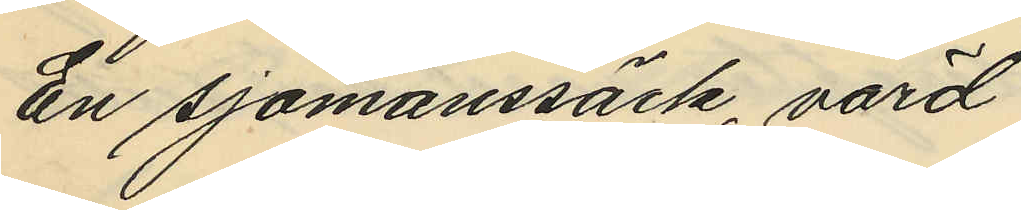en sjömanssäck, värd
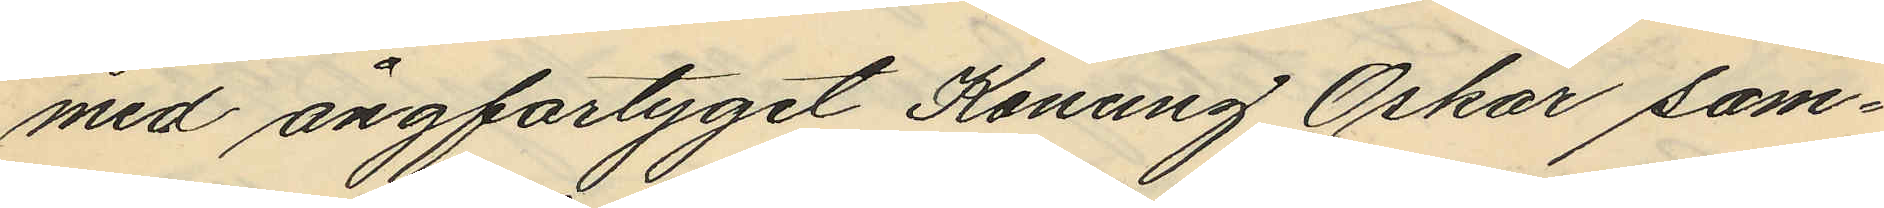med ångfartyget Konung Oskar sam¬
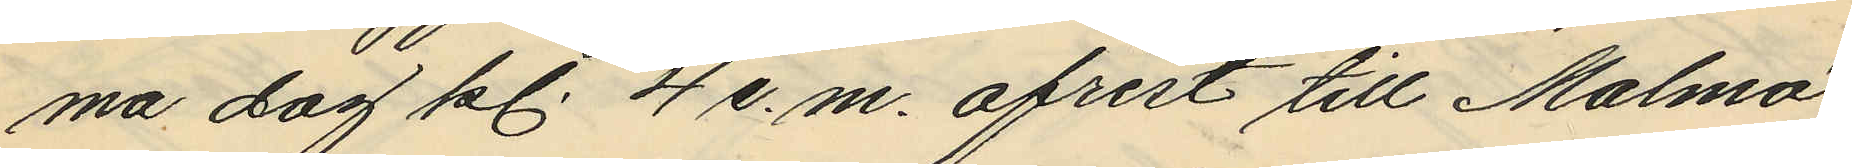ma dag kl. 4 e.m. afrest till Malmö,
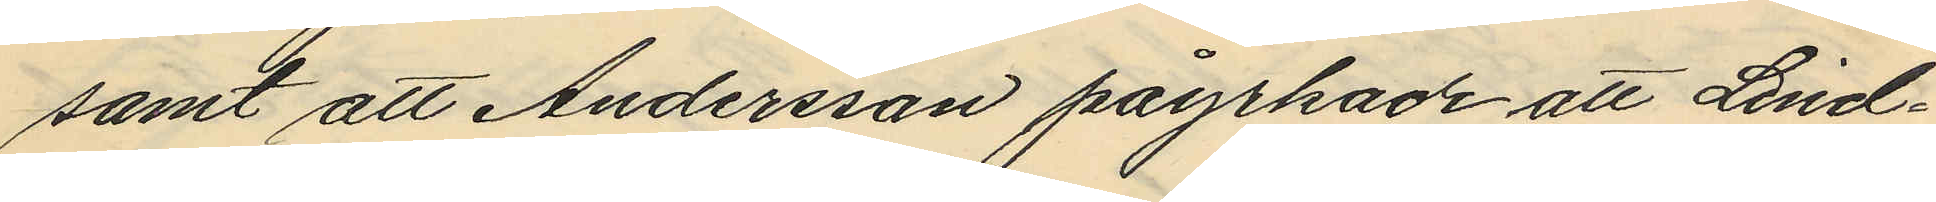samt att Andersson påyrkade att Lind¬
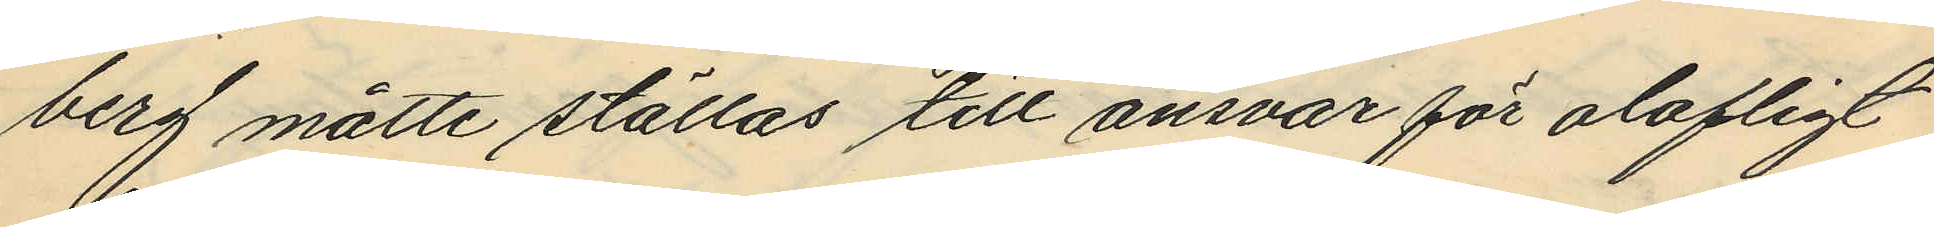berg måtte ställas till ansvar för olofligt
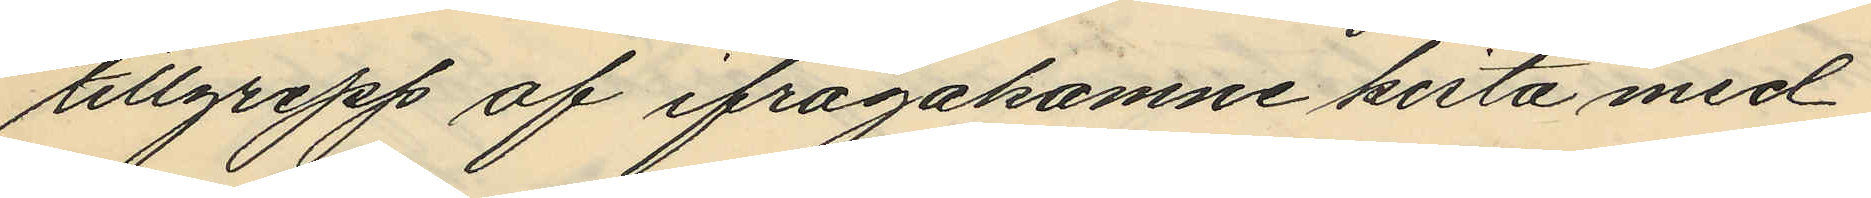tillgrepp af ifrågakomne kista med
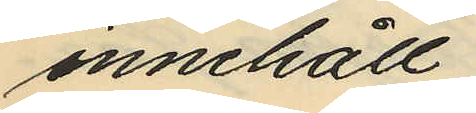innehåll.
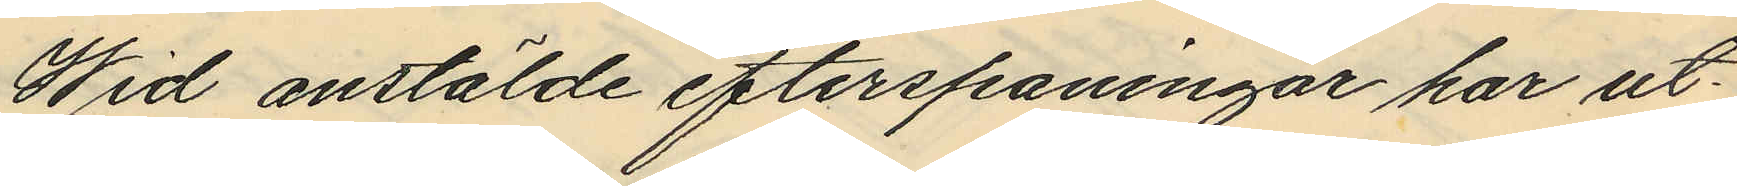Wid anstälde efterspaningar har ut¬
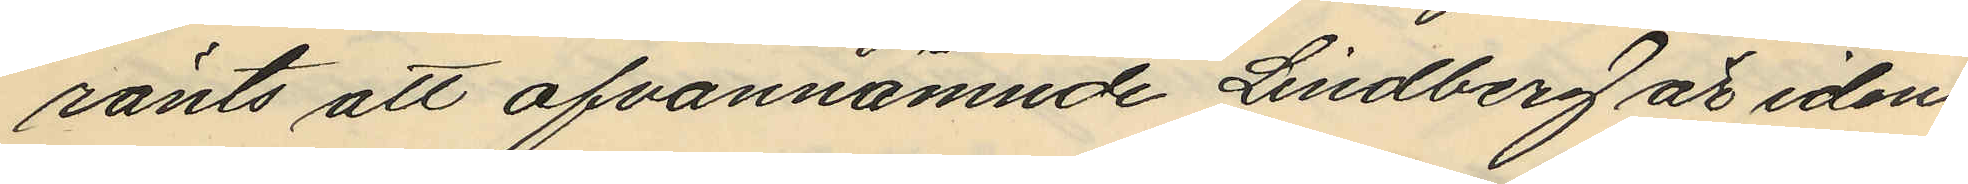rönts att ofvannämnde Lindberg är iden¬
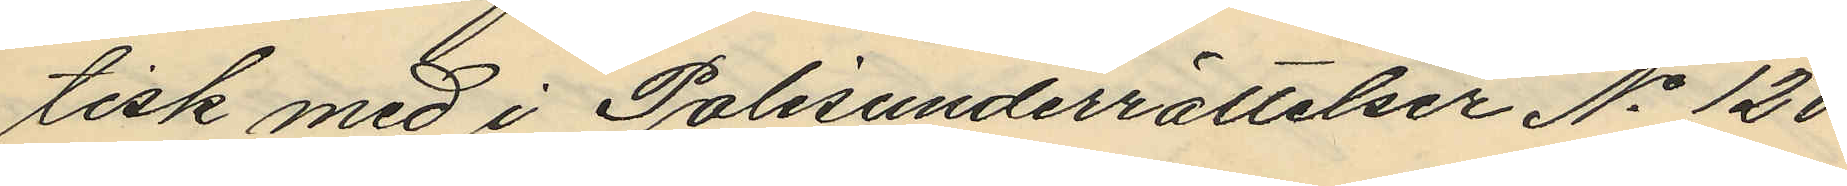tisk med i Polisunderrättelser No 120
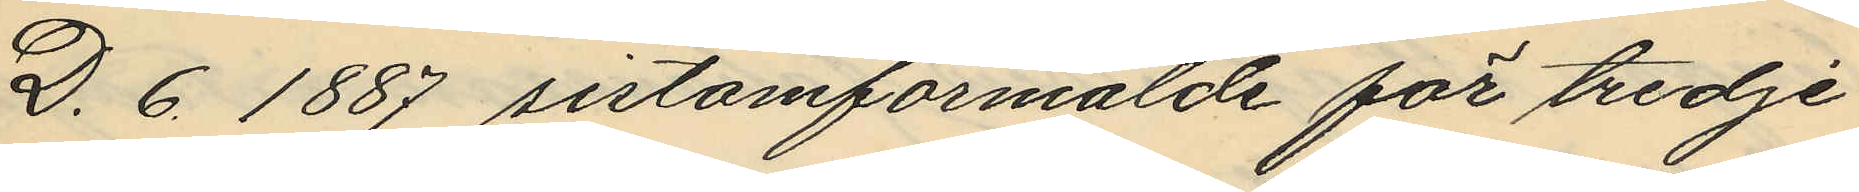D. 6. 1887 sistomförmälde för tredje
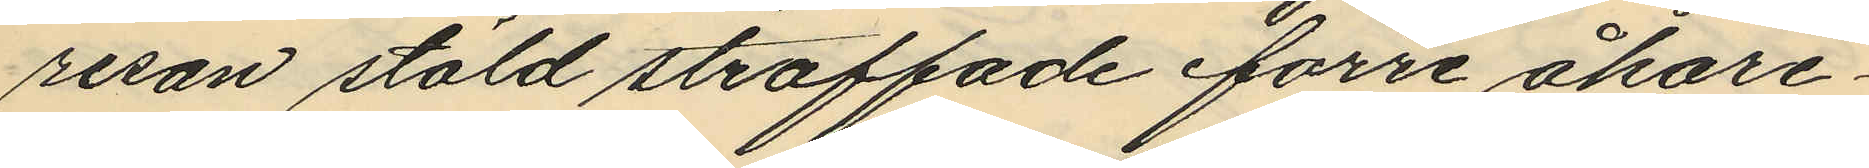resan stöld straffade förre åkare¬
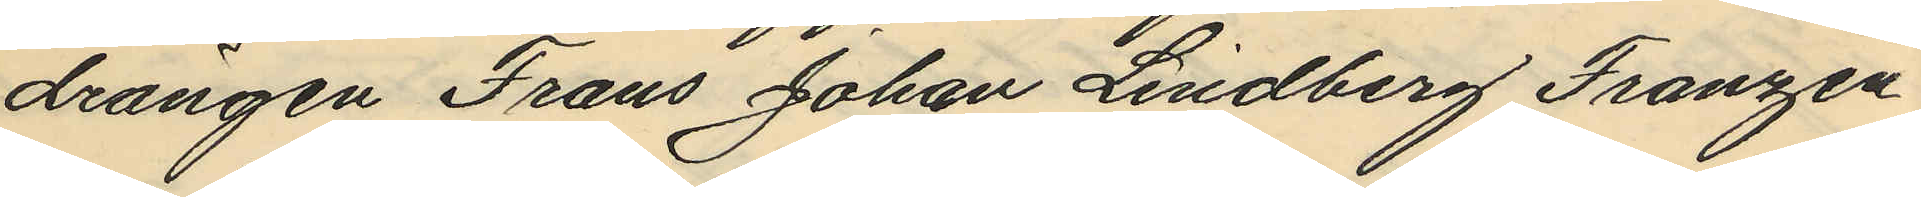drängen Frans Johan Lindberg Franzén
